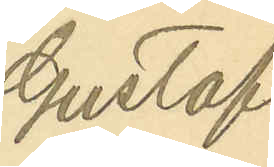Gustaf
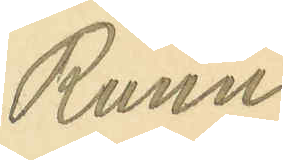Runn¬
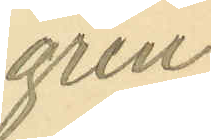gren.
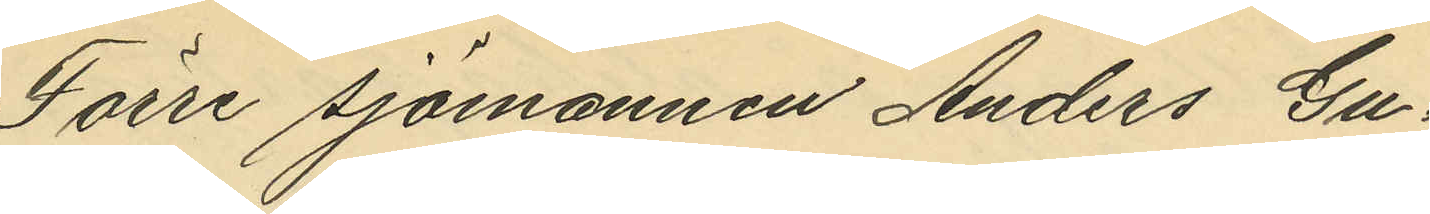Förre sjömannen Anders Gu¬
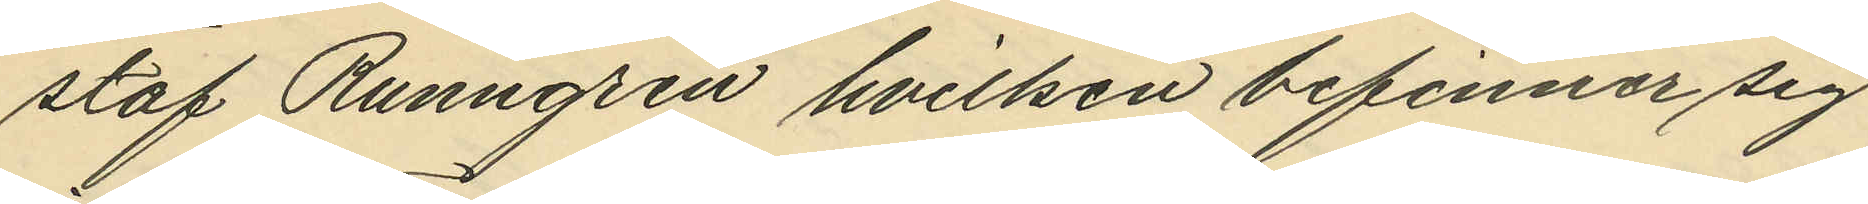staf Runngren hvilken befinner sig
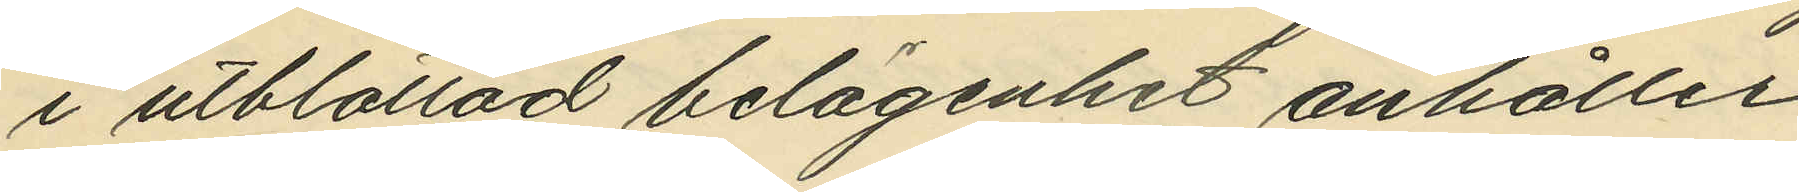i utblottad belägenhet anhåller
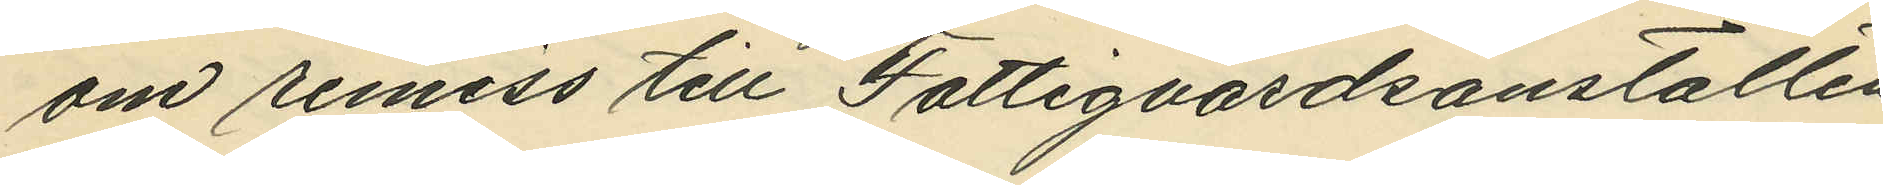om remiss till Fattigvårdsanstalten
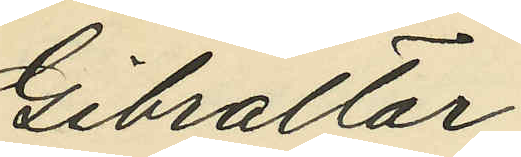Gibraltar.
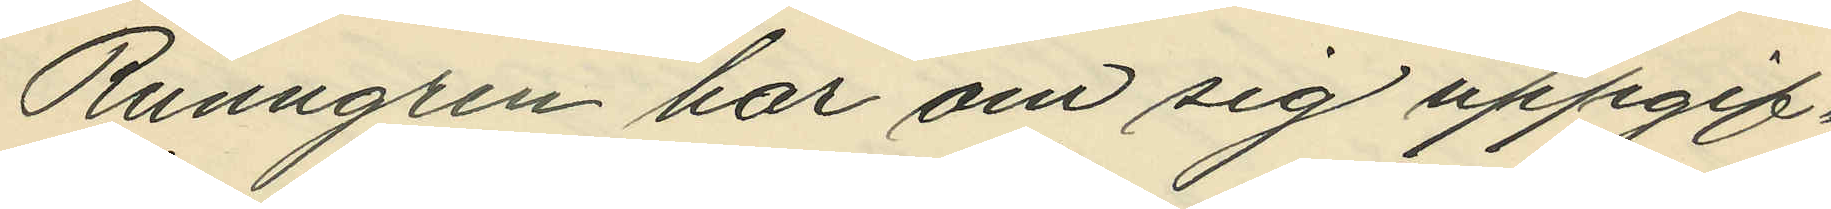Runngren har om sig uppgif¬
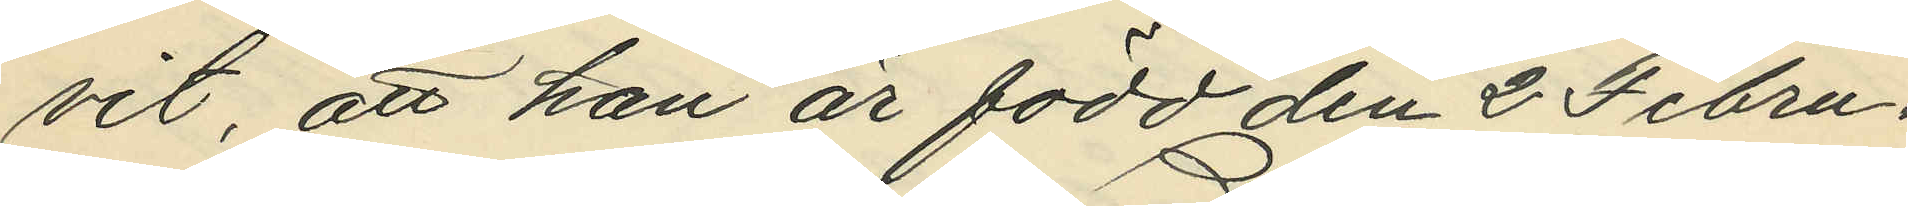vit, att han är född den 2 Febru¬
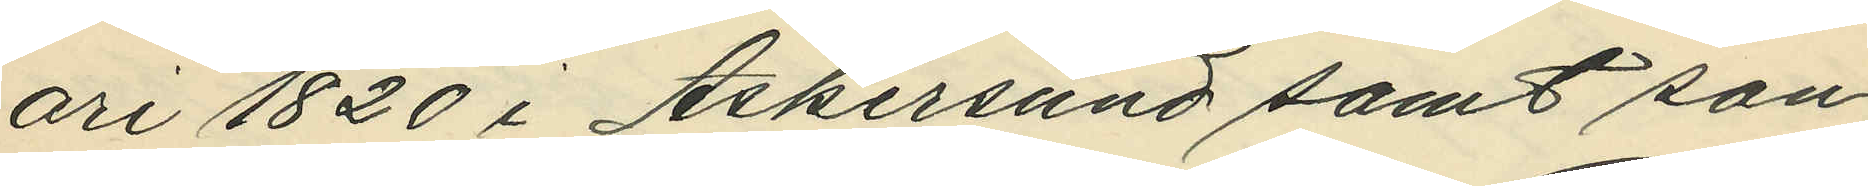ari 1820 i Askersund samt son
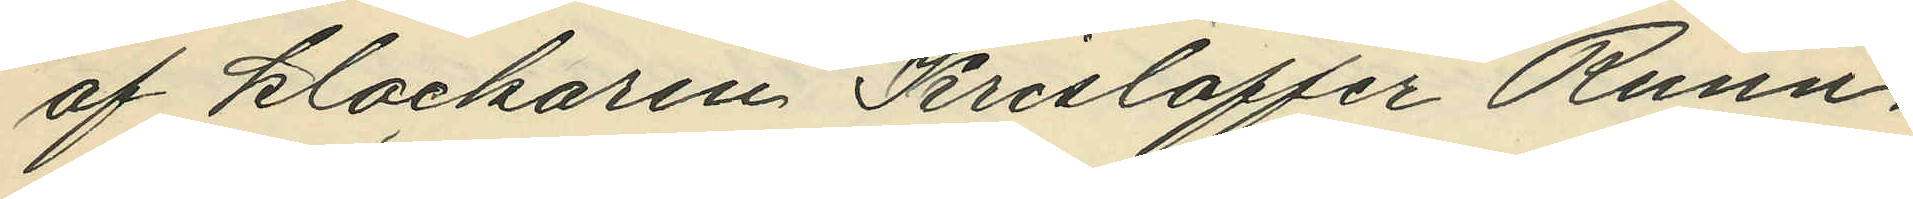af klockaren Krisloffer Runn¬
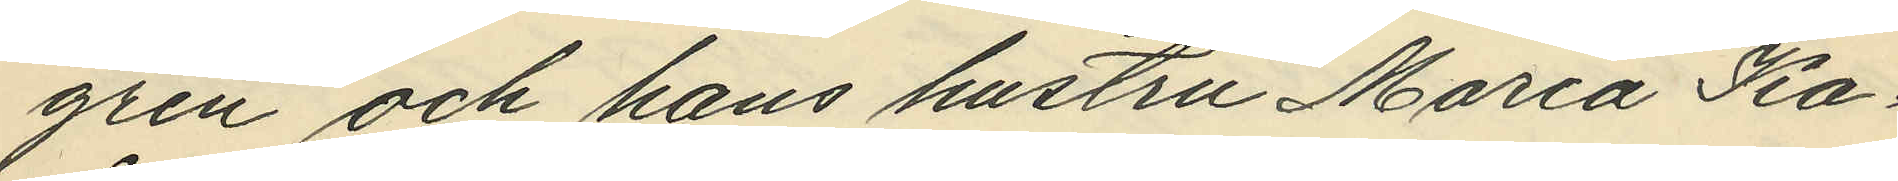gren och hans hustru Maria Ka¬
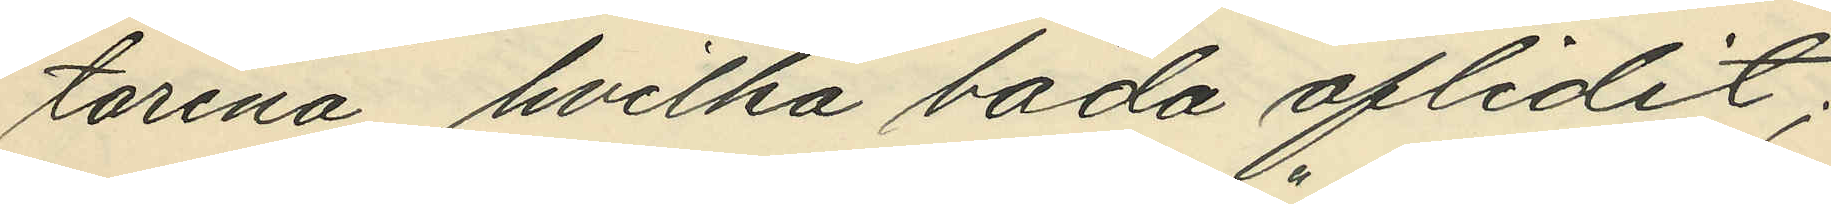tarina, hvilka båda aflidit;
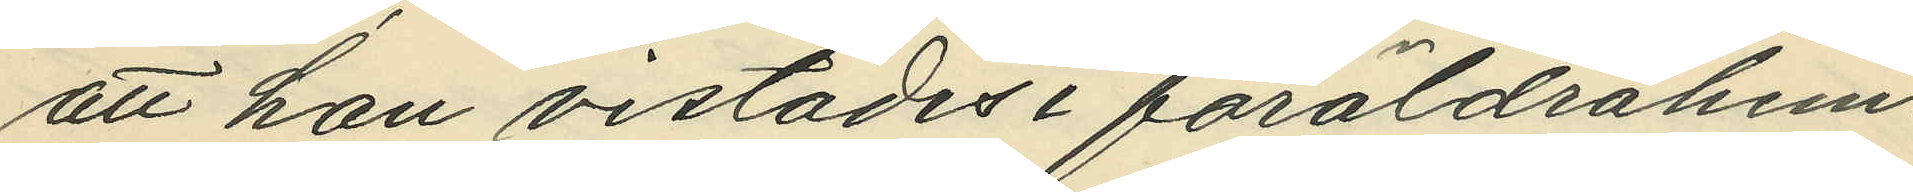att han vistades i föräldrahem¬
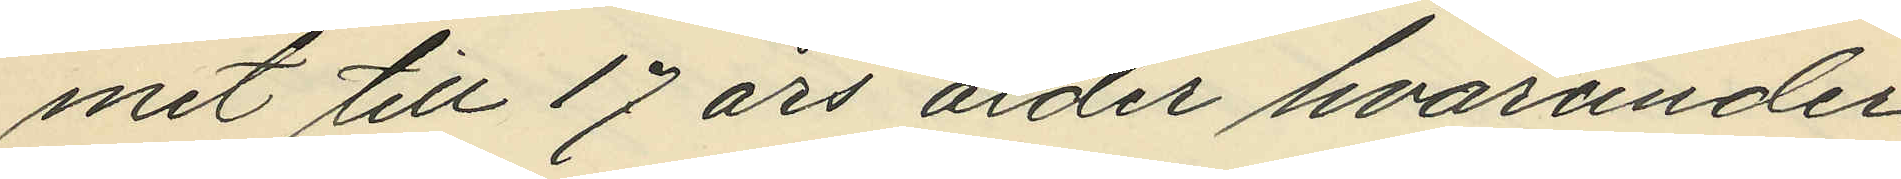met till 17 års ålder hvarunder
